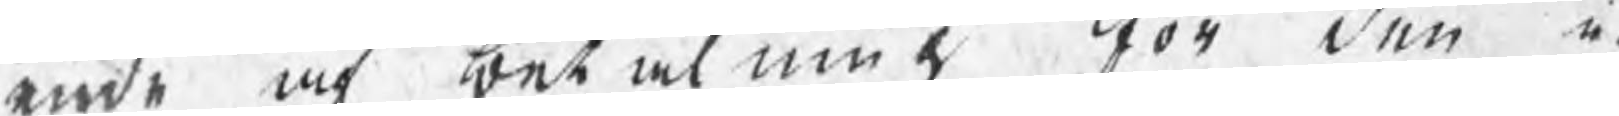ende af det al me ttor den å¬
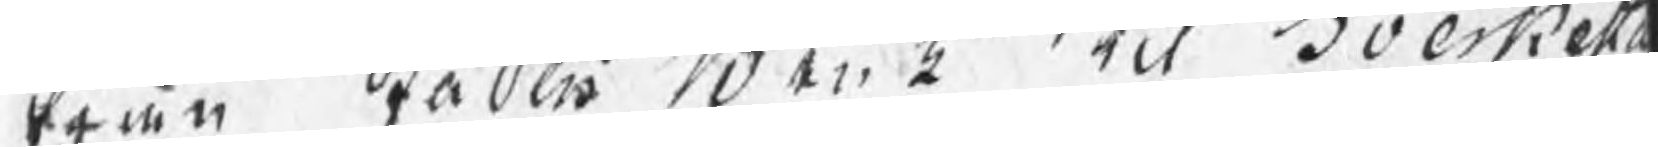sran Stablio B en 2 teldd erti eri
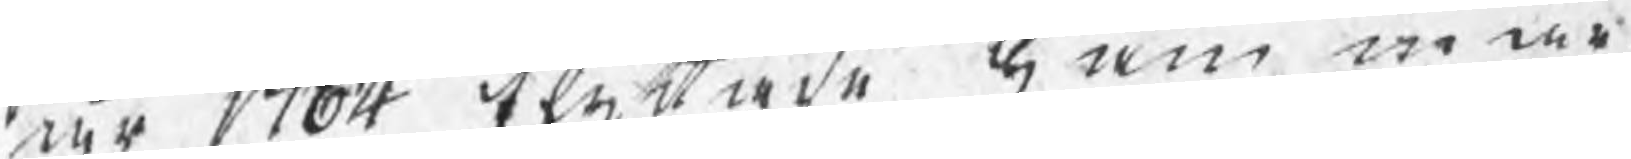r 1704 tenunde imi mur
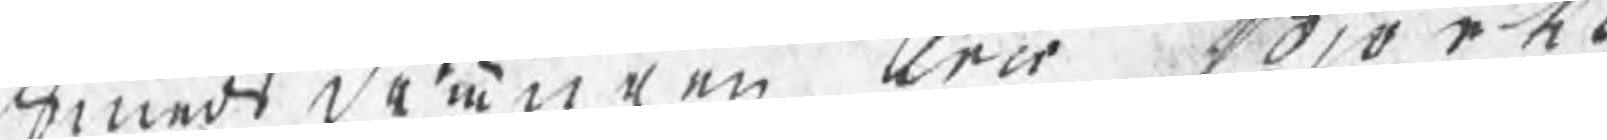nedt denelen trir Soro et.
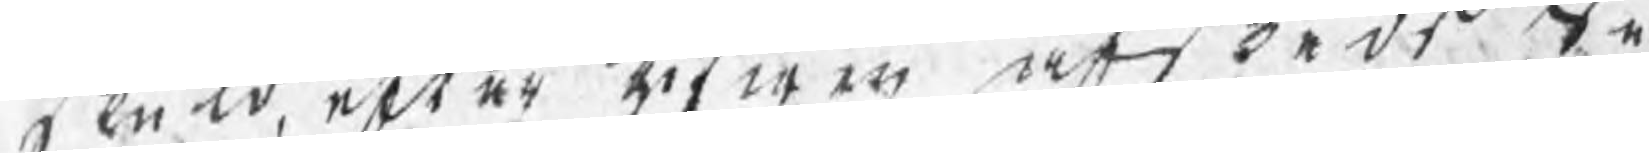plutt efter rifwen et deds te
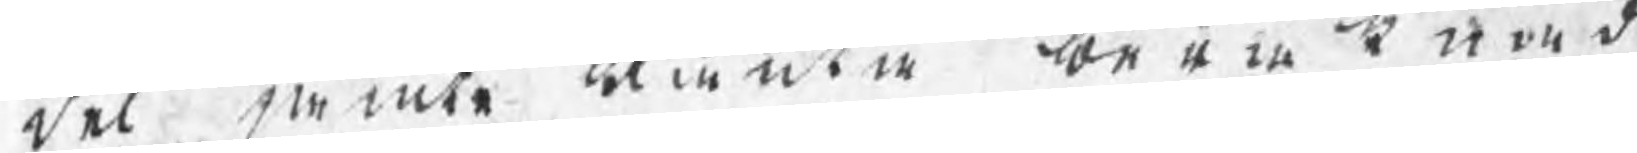del mente Runte boeri t med
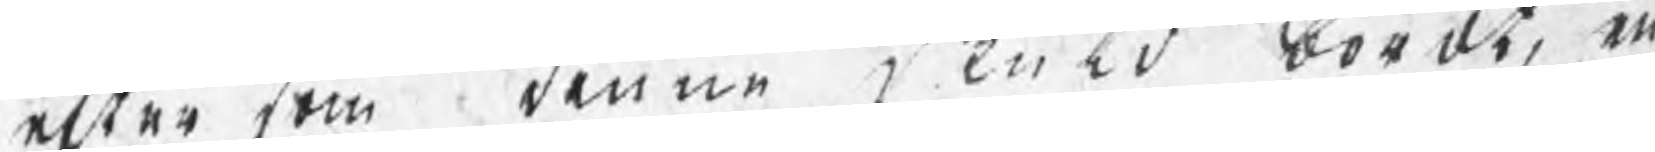efter som kenne ened bör der e
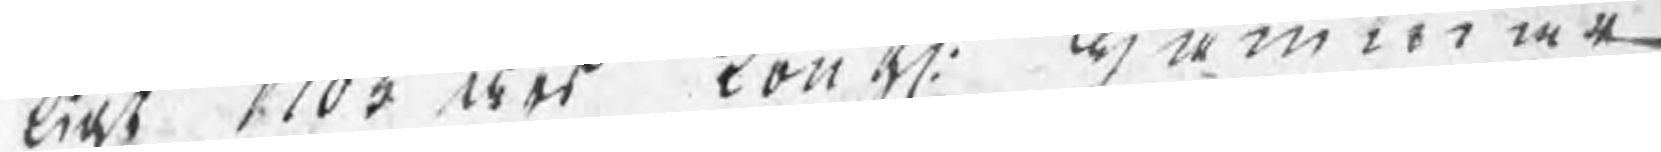Gaot 1703 dms Font. wmmar
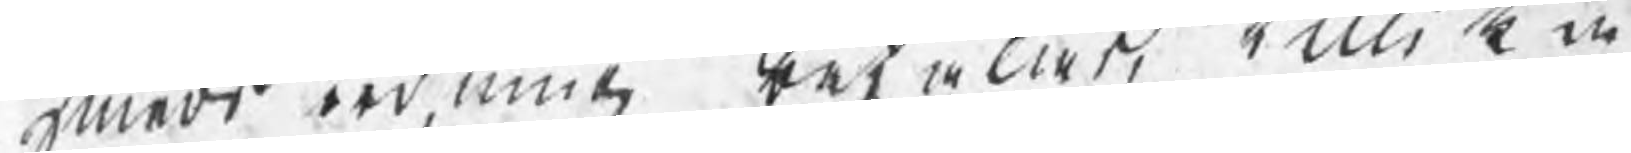meds oodina berwärt Tilli k in
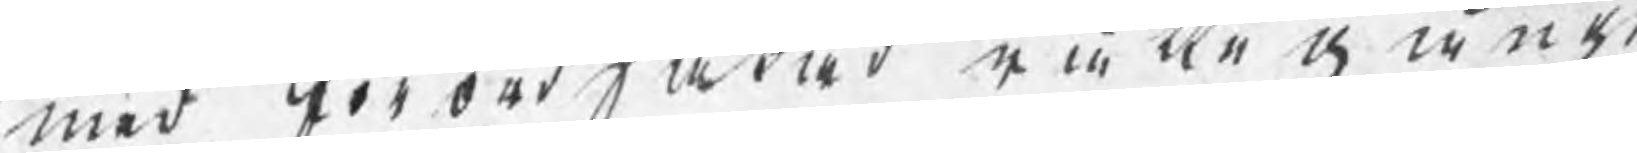med tör ord påted rii kn Å äraf.
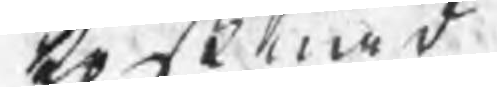kosmt
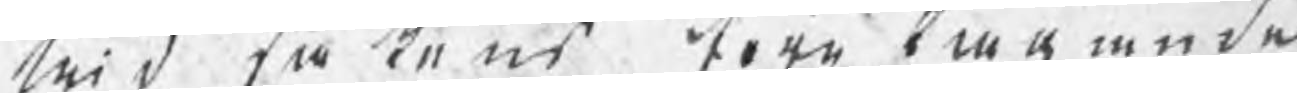Wid tåtens börg biägende
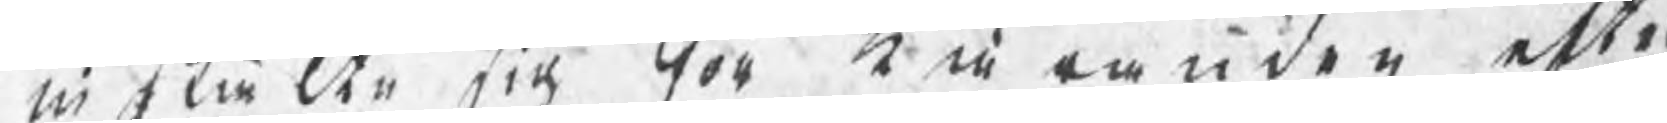in skie Åmr vin Toc, t å randon ett¬
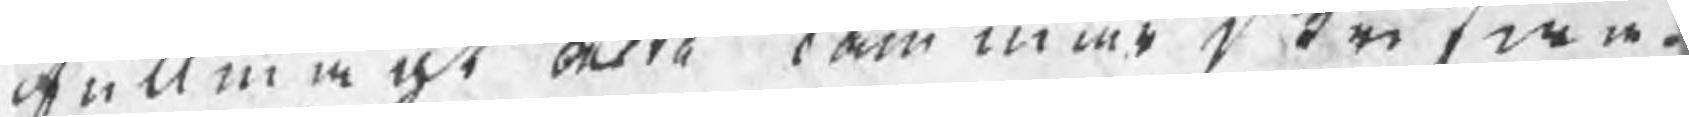Rullmen at okra fammer brifwa¬
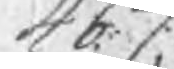4 b. C.. 
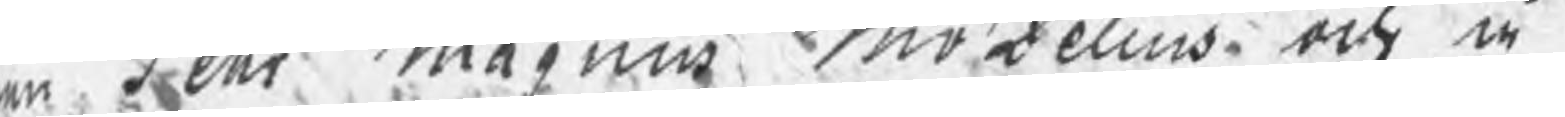on Dechr Månniu mozelius ock å
